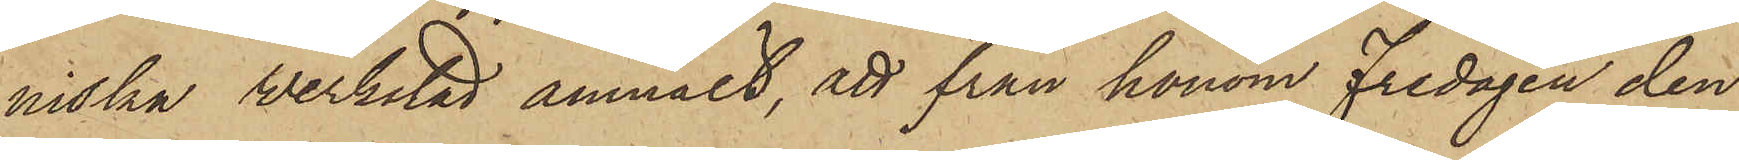niska Werkstad anmält, att från honom Fredagen den
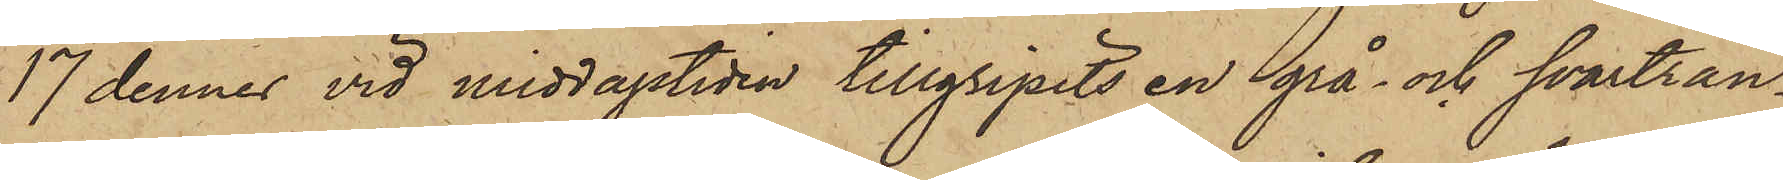17 dennes vid middagstiden tillgripits en grå- och svartran¬
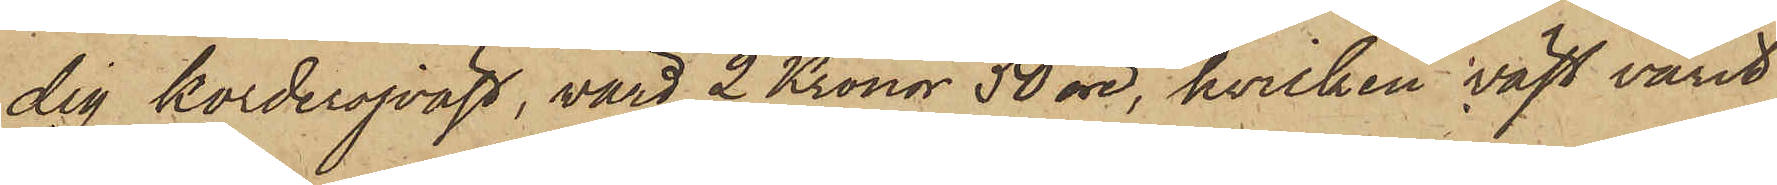dig korderojväst, värd 2 Kronor 50 öre, hvilken väst varit
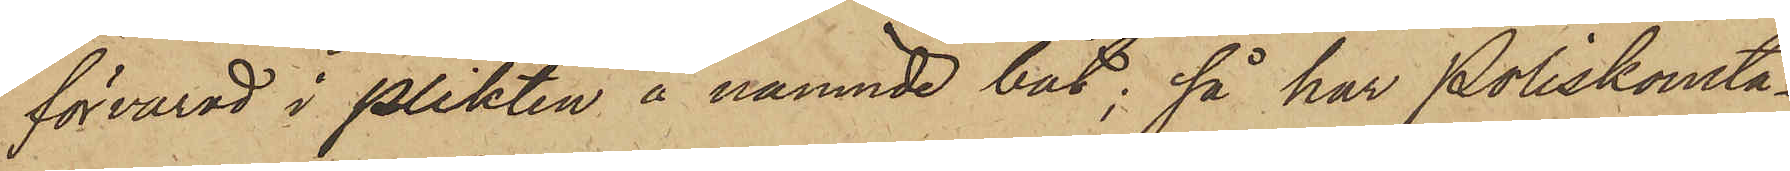förvarad i plikten å nämnde båt; så har Poliskonsta¬
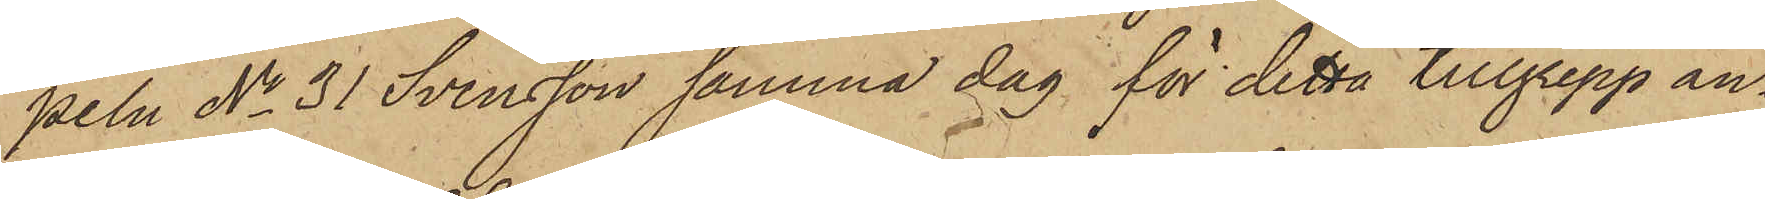peln No 31 Svensson samma dag för detta tillgrepp an¬
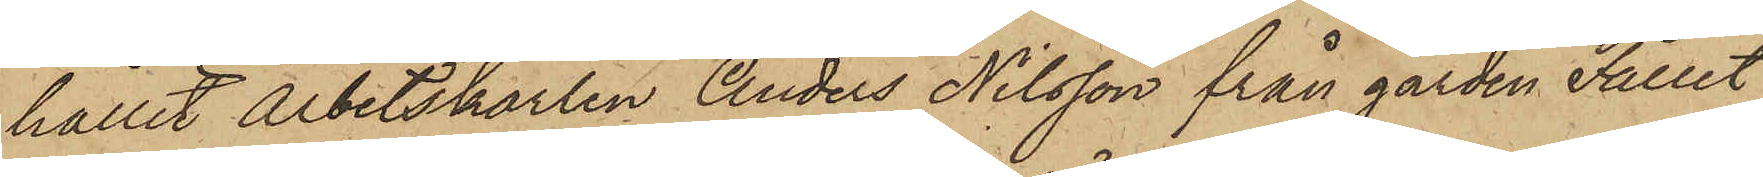hållit Arbetskarlen Anders Nilsson från gården Fallet
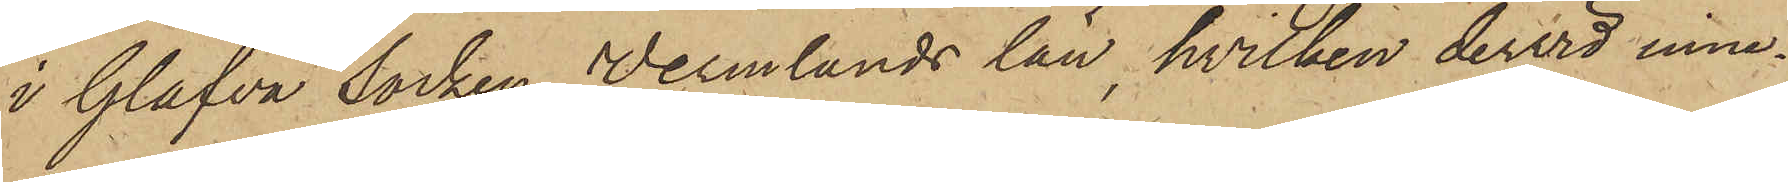i Glafva Socken Wermlands län, hvilken dervid inne¬
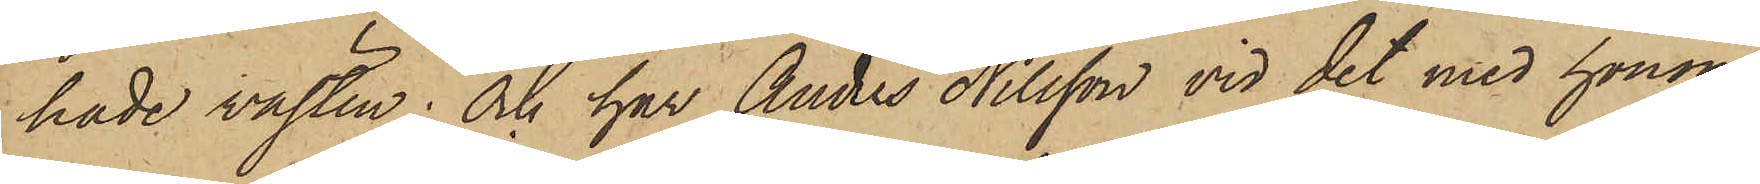hade västen; och har Anders Nilsson vid det med honom
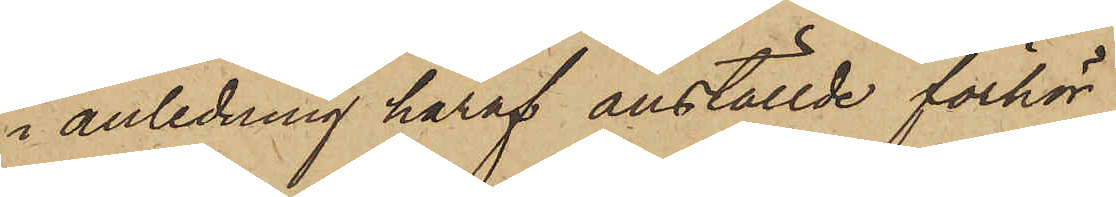i anledning häraf anställde förhör
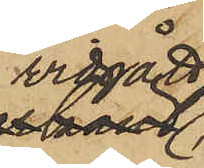vidgått,
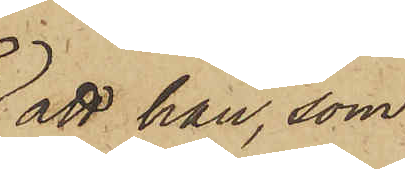att han, som
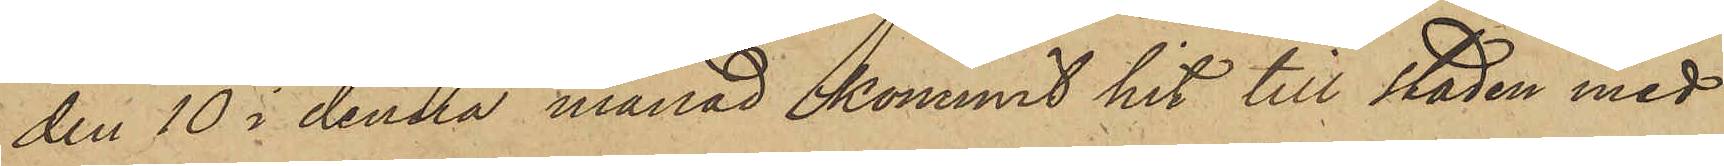den 10 i denna månad kommit hit till staden med
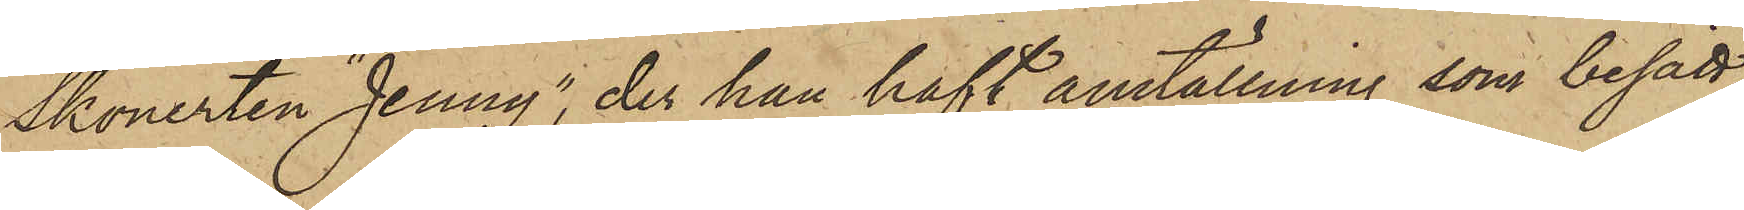Skonerten "Jenny", der han haft anställning, som besätt¬
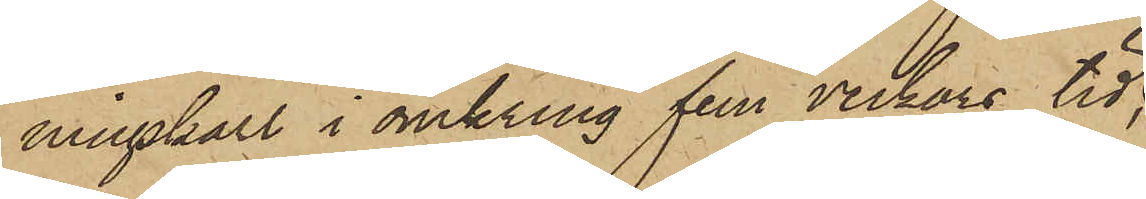ningskarl i omkring fem veckors tid,
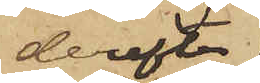derefter
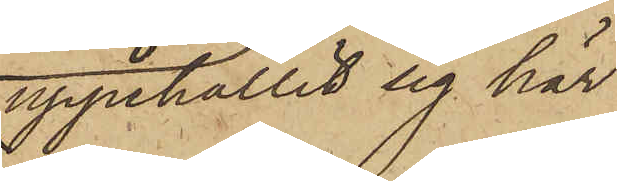uppehållit sig här
